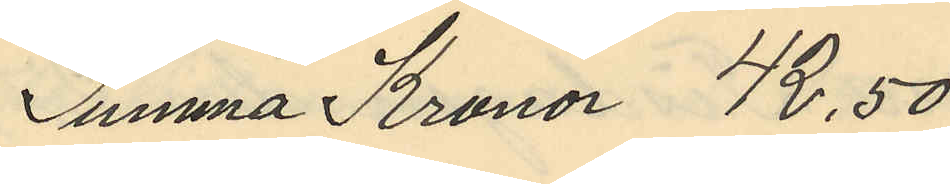Summa Kronor 42,50
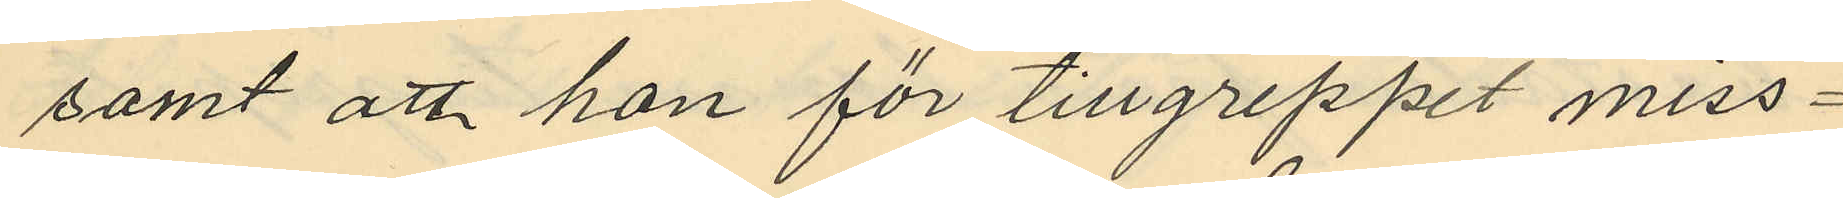samt att hon för tillgreppet miss¬
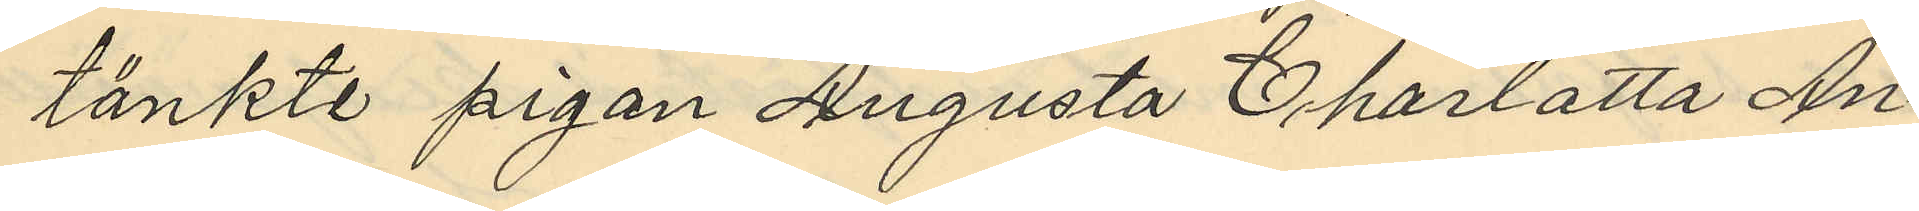tänkte pigan Augusta Charlotta An¬
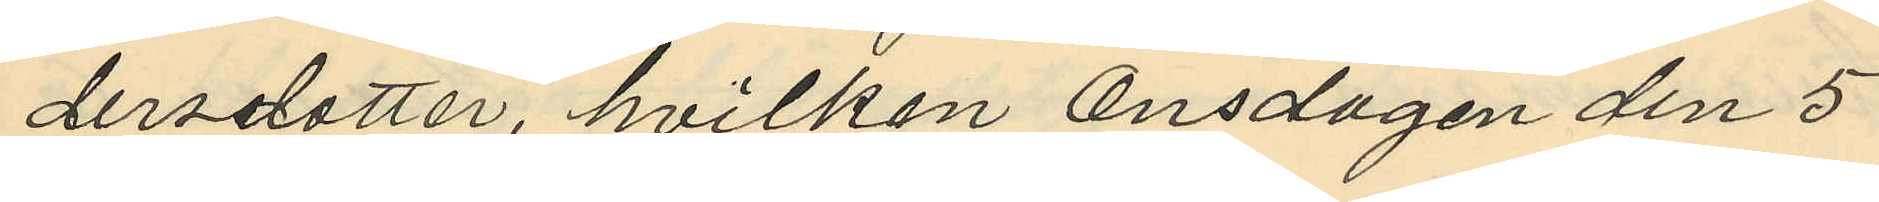dersdotter, hvilken Onsdagen den 5
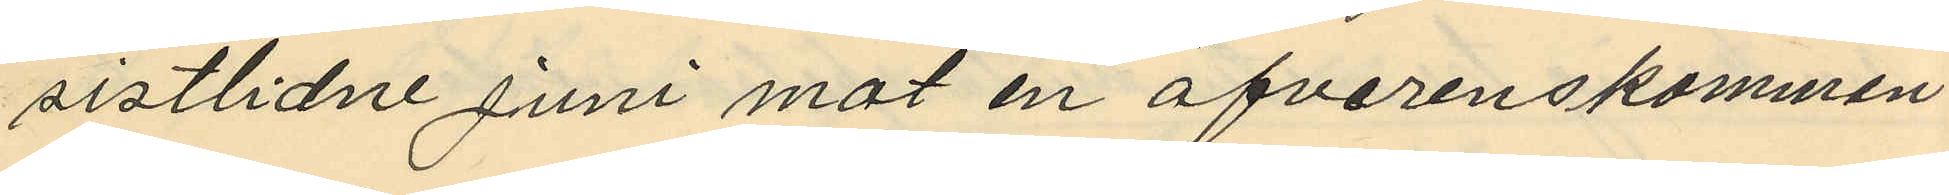sistlidne Juni mot en öfverenskommen
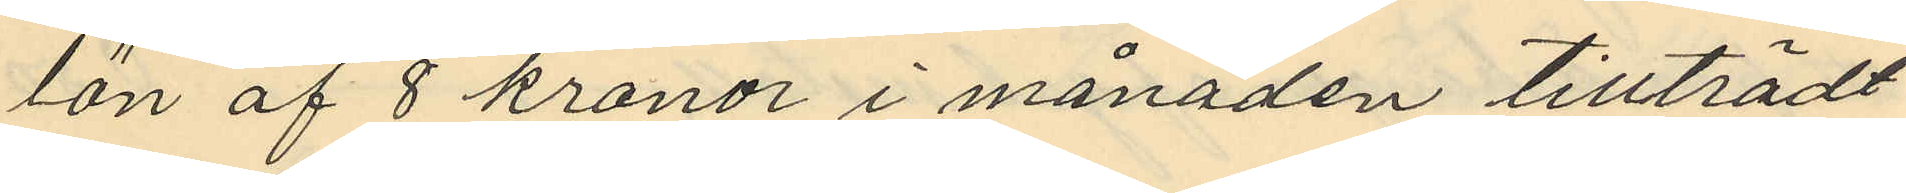lön af 8 kronor i månaden tillträdt
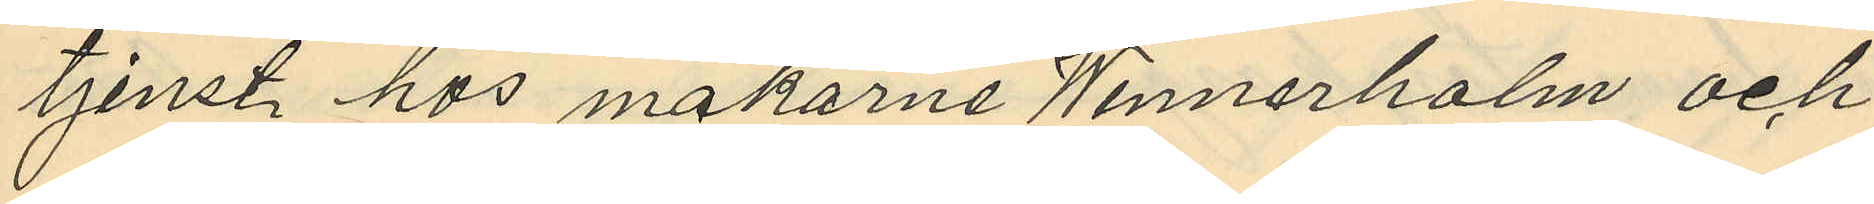tjenst hos makarne Wennerholm och
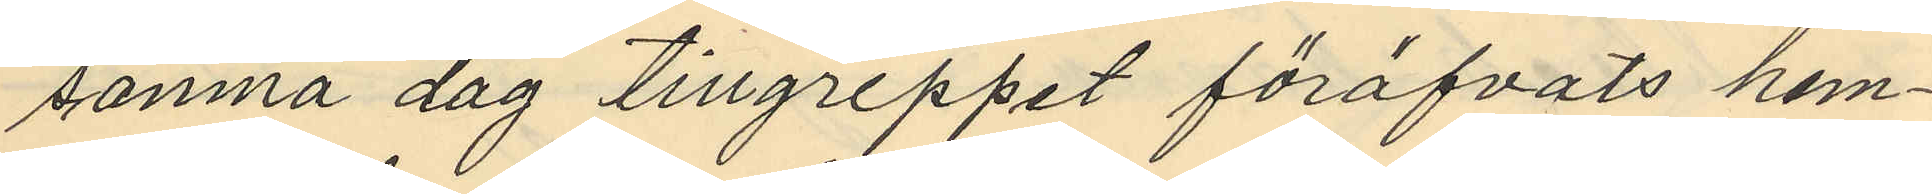samna dag tillgreppet föröfvats hem¬
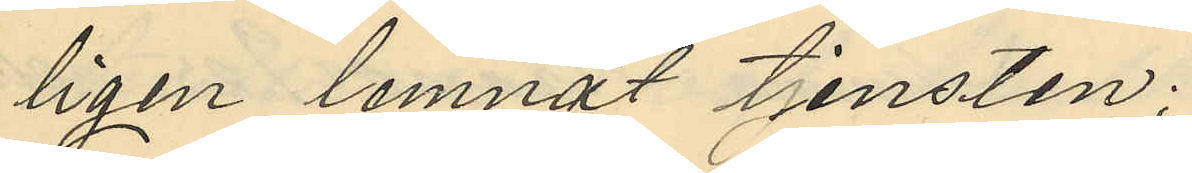ligen lemnat tjensten;
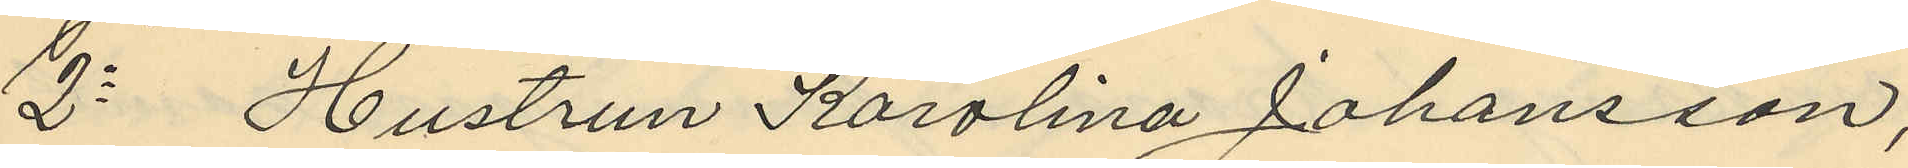2o Hustrun Karolina Johansson,
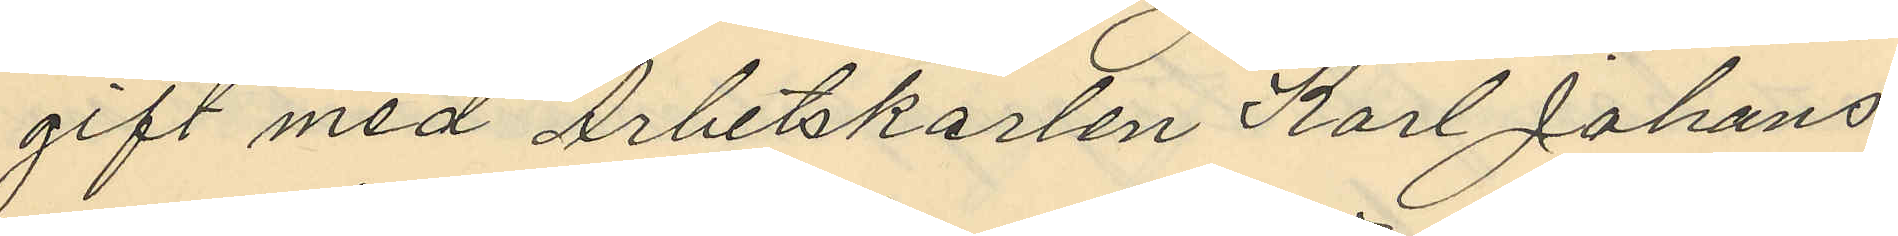gift med Arbetskarlen Karl Johans¬
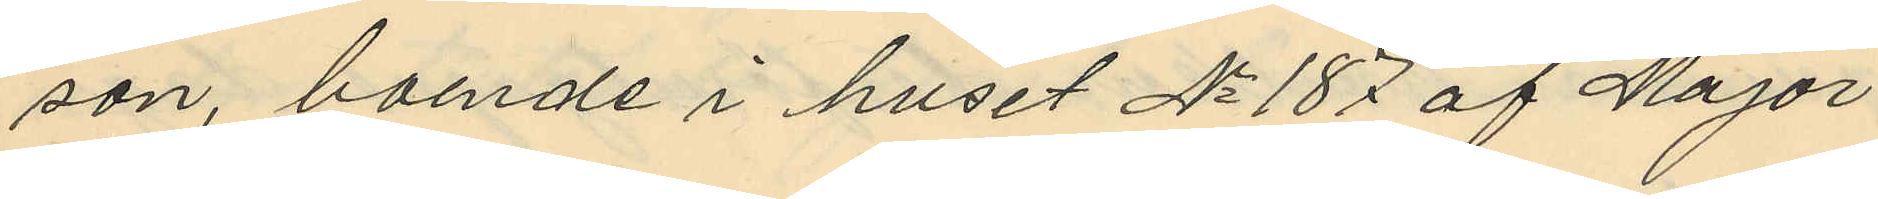son, boende i huset No 187 af Major
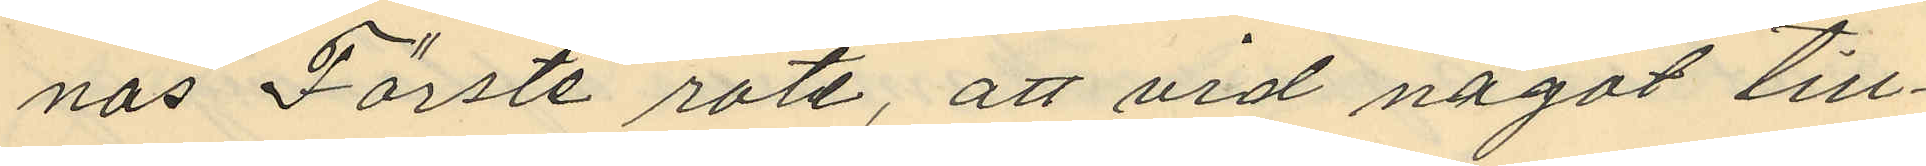nas Förste rote, att vid något till¬
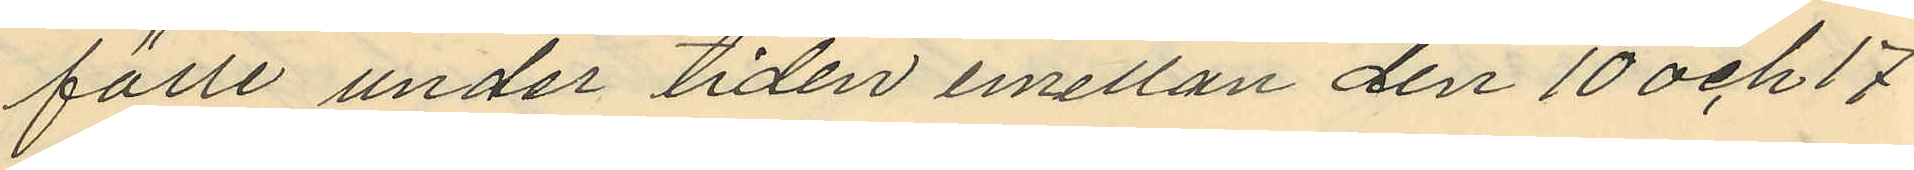fälle under tiden emellan den 10 och 17
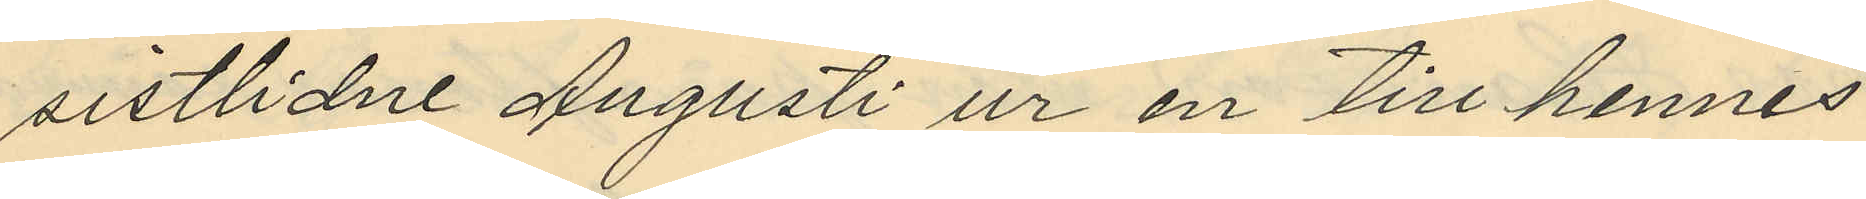sistlidne Augusti ur en till hennes
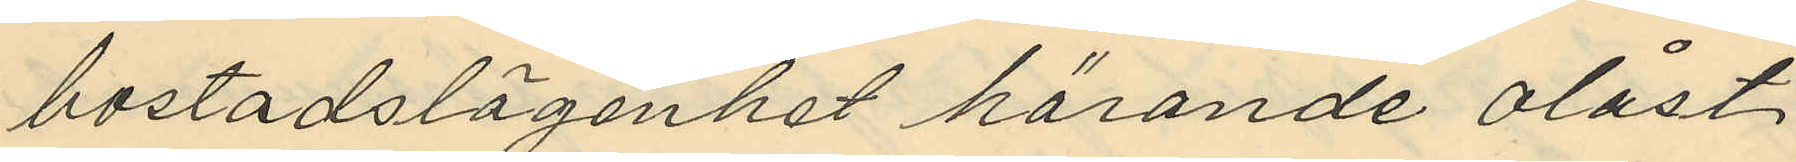bostadslägenhet hörande olåst
